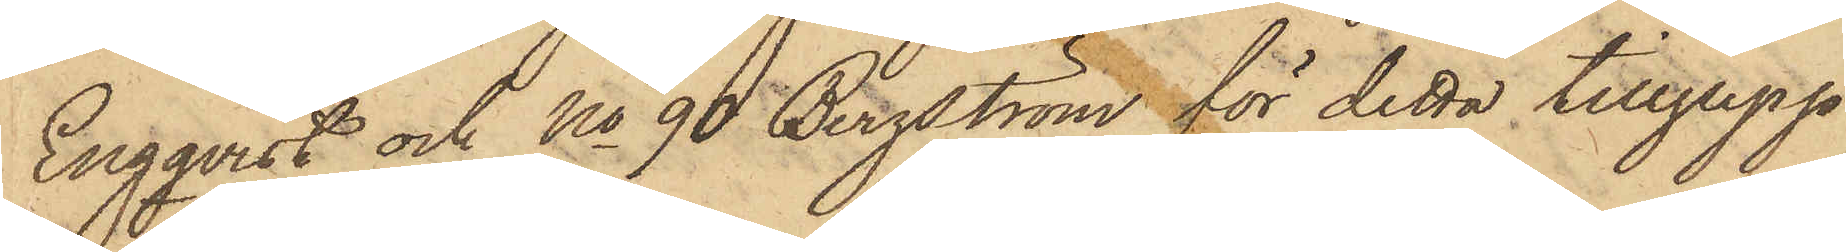Engqvist och No 90 Bergström för detta tillgrepp
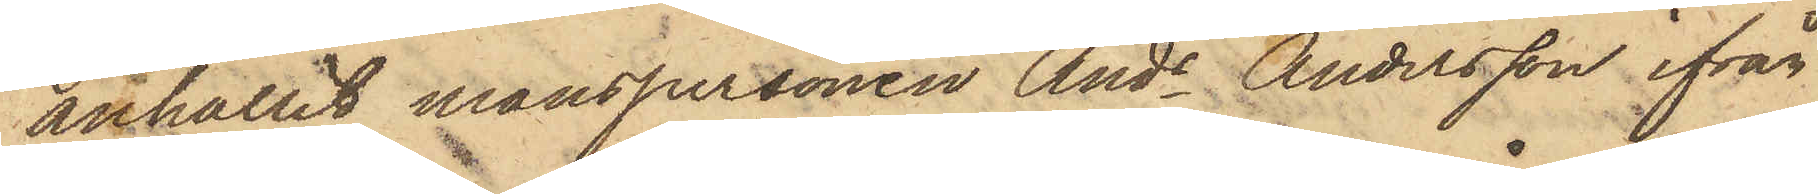anhållit manspersonen Ands Andersson ifrån
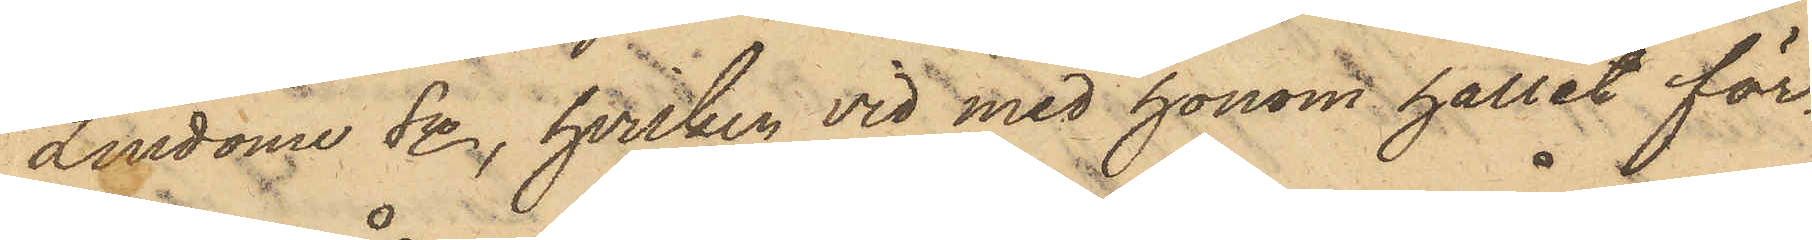Lindome Sn, hvilken vid med honom hållit för¬
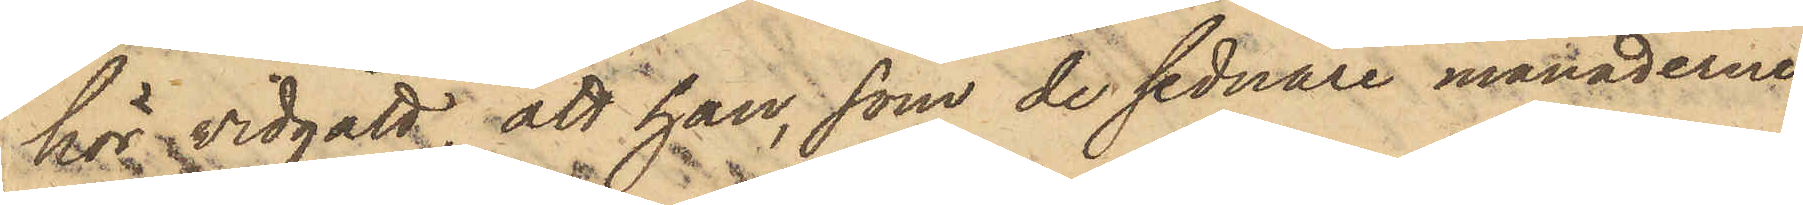hör vidgått, att han, som de sednare månaderne
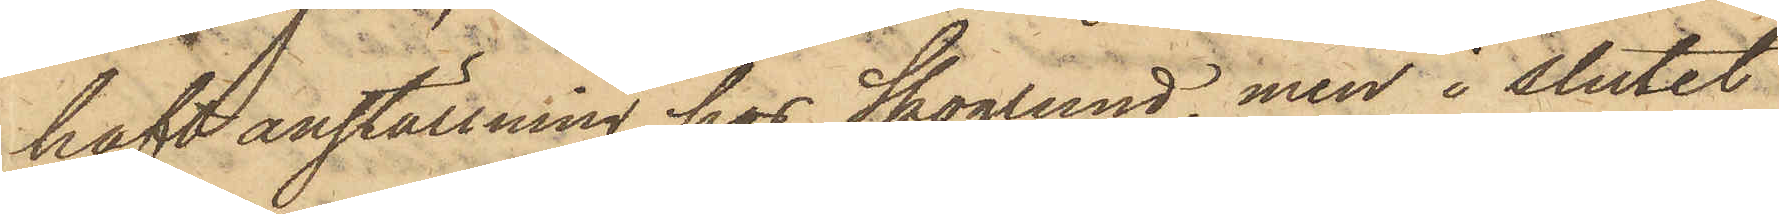haft anställning hos Skoglund, men i slutet
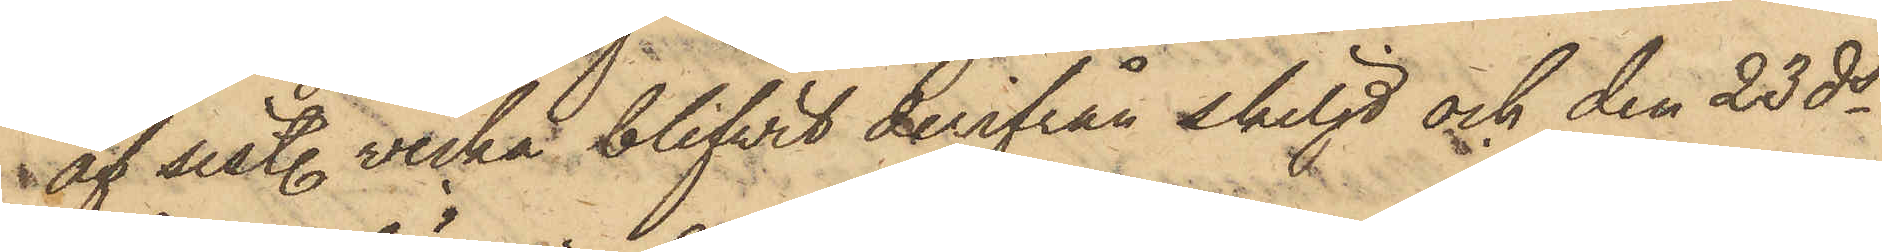af sistl. vecka blifvit derifrån skiljd och den 23 ds
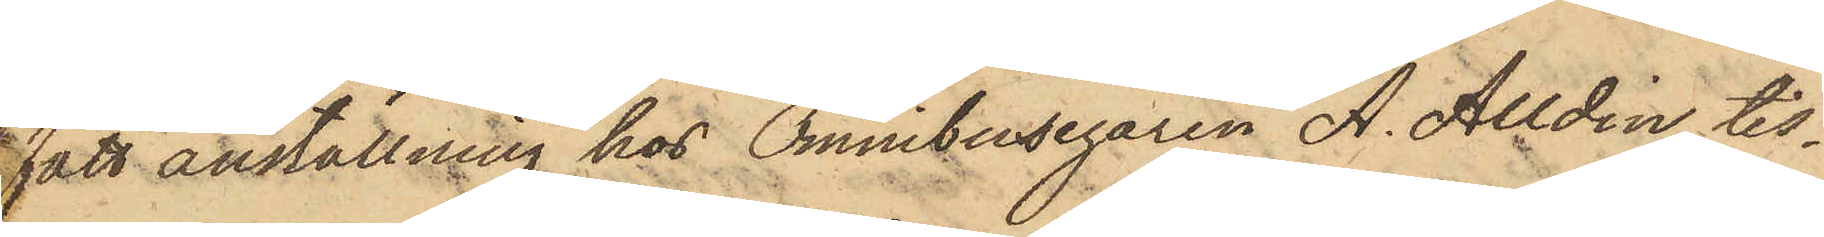fått anställning hos Omnibusegaren A. Alldin, tis¬
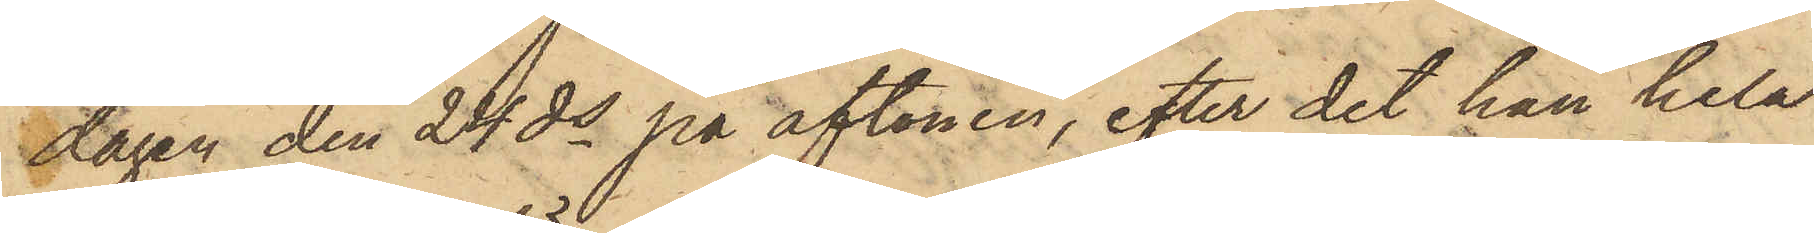dagen den 24 ds på aftonen, efter det han hela
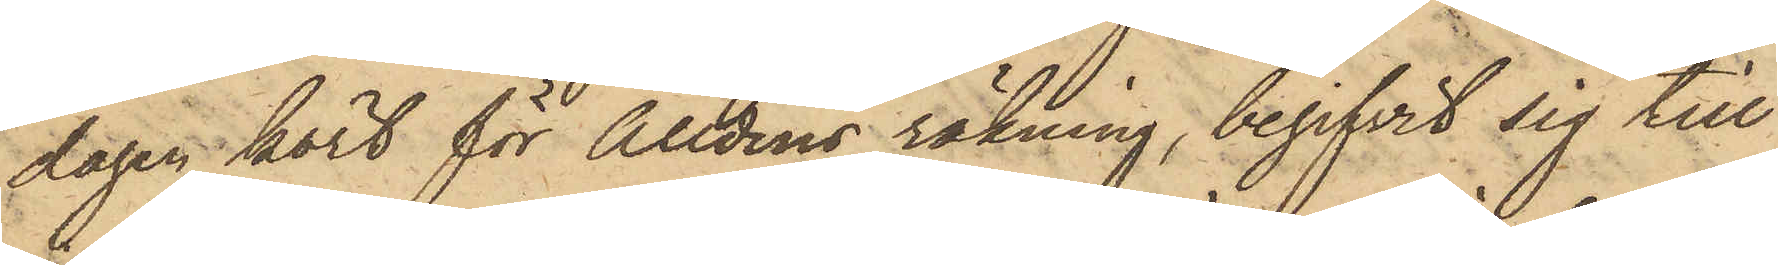dagen kort för Alldins räkning, begifvit sig till
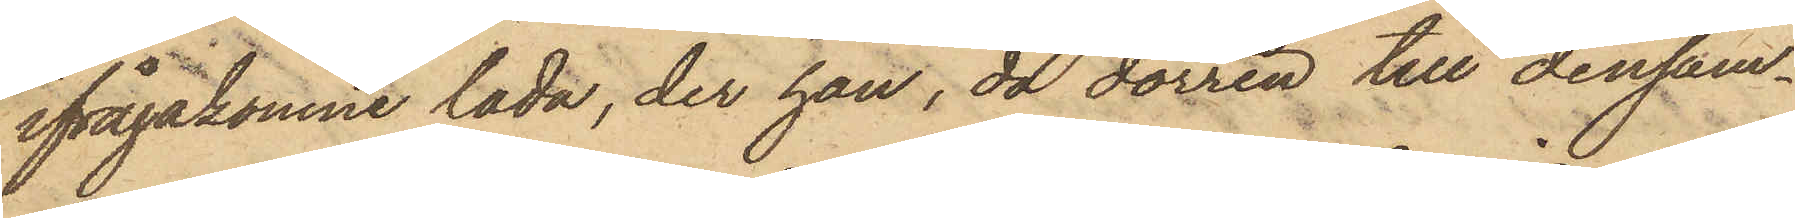ifrågakomne lada, der han, då dörren till densam¬
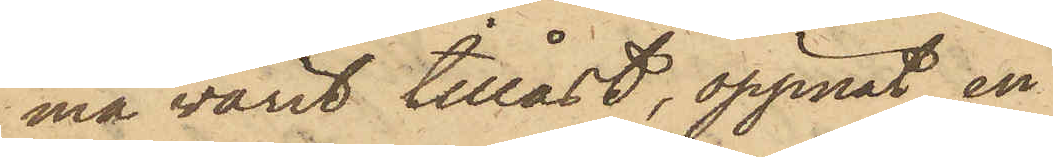ma varit tillåst, öppnat en
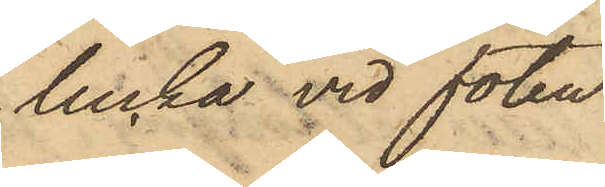lucka vid foten
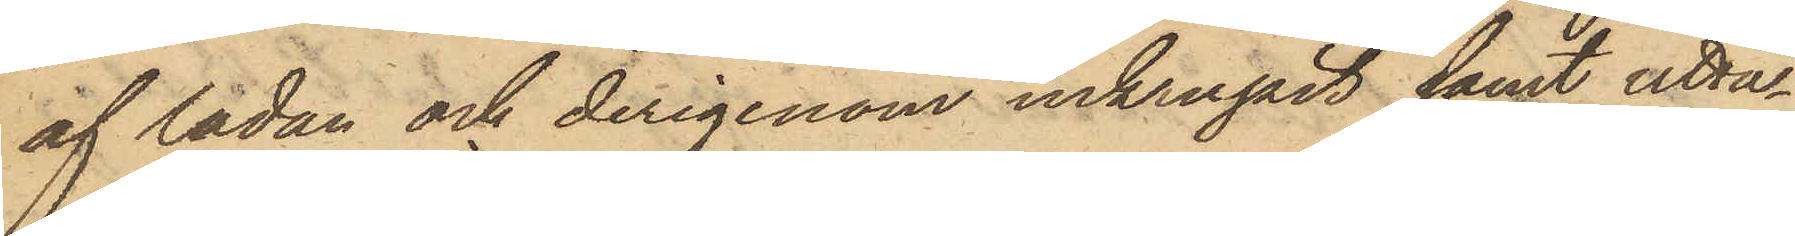af ladan och derigenom inkrupit samt utta¬
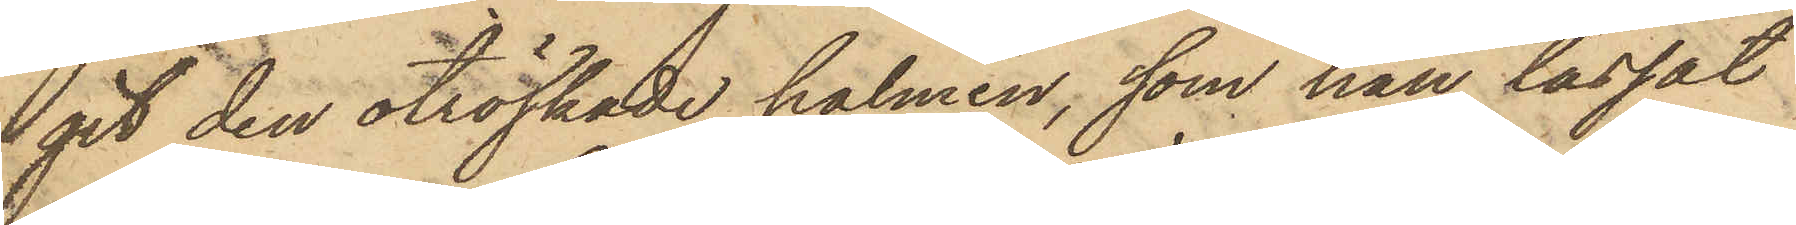git den otröskade halmen, som han lassat
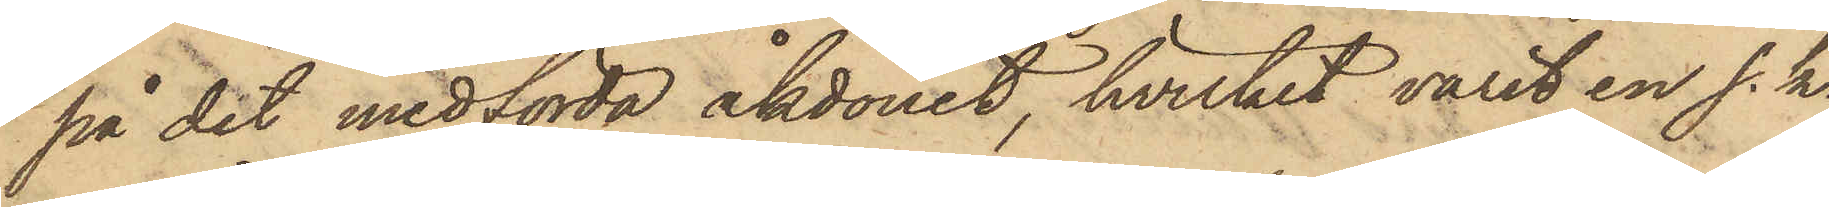på det medförda åkdonet, hvilket varit en s. k.
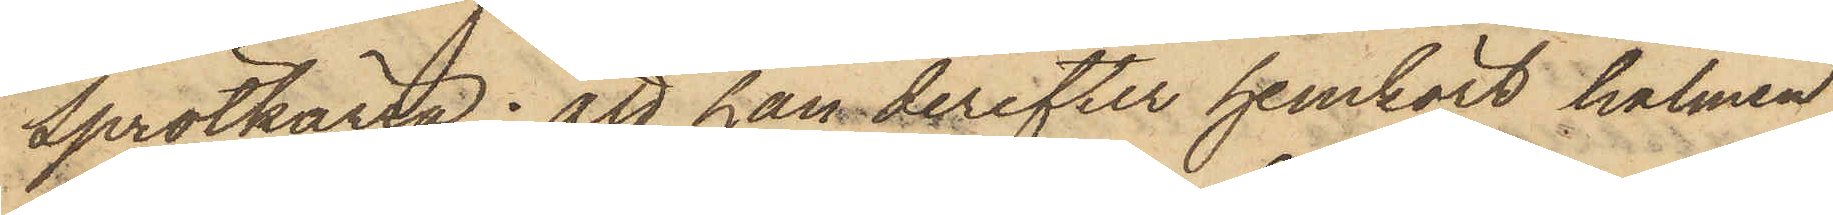Sprötkärra; att han derefter hemkört halmen
